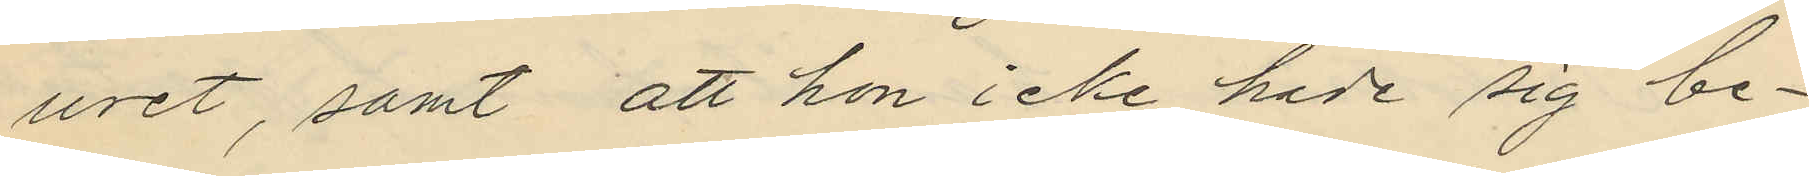uret, samt att hon icke hade sig be¬
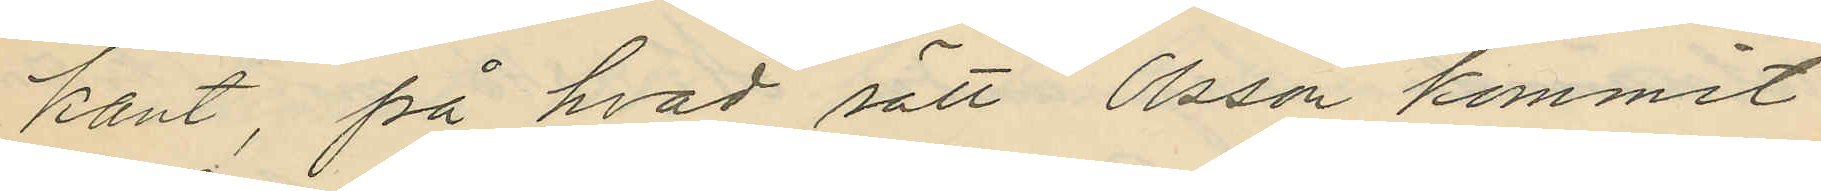kant, på hvad sätt Olsson kommit
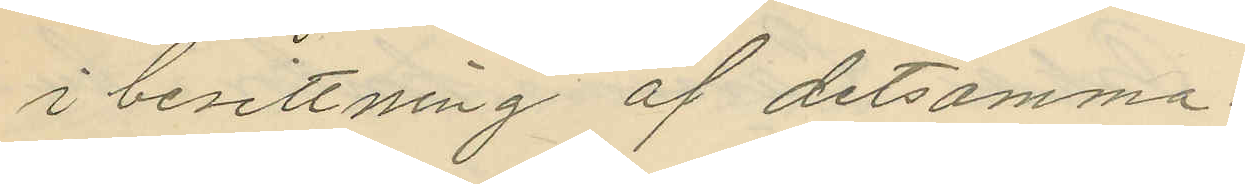i besittning af detsamma.
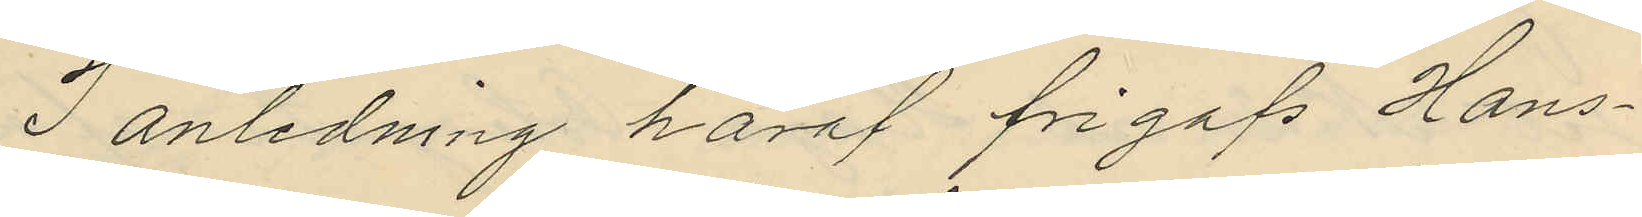I anledning häraf frigafs Hans¬
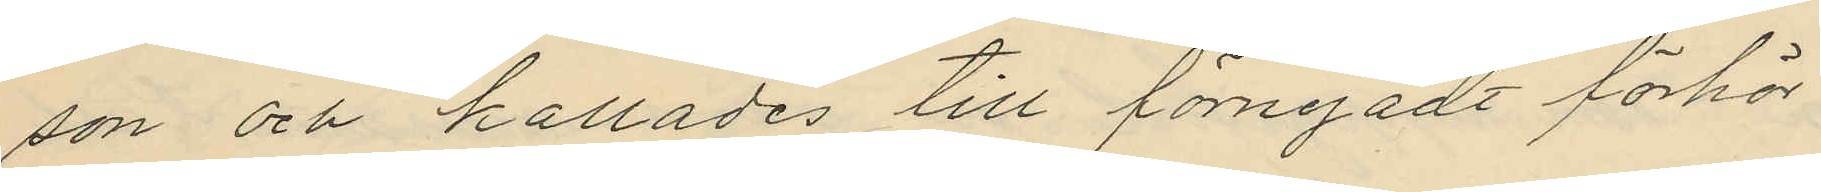son och kallades till förnyadt förhör
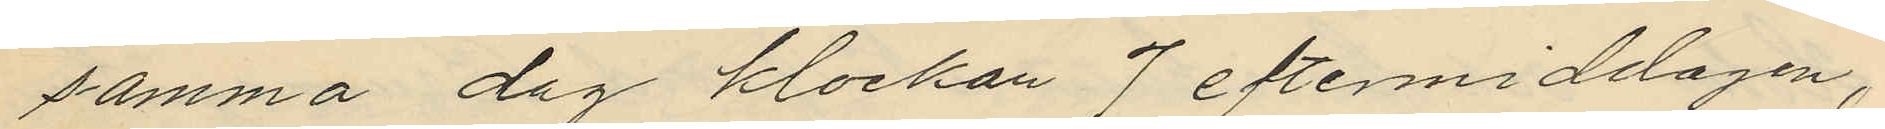samma dag klockan 7 eftermiddagen,
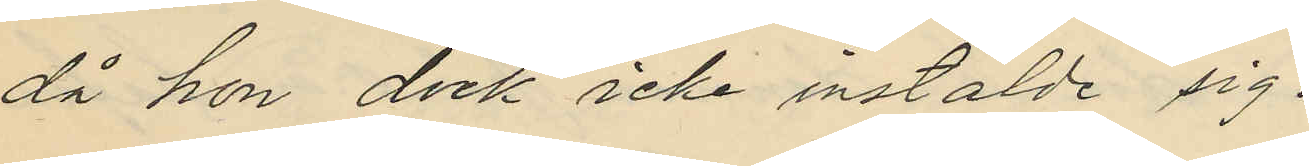då hon dock icke instälde sig.
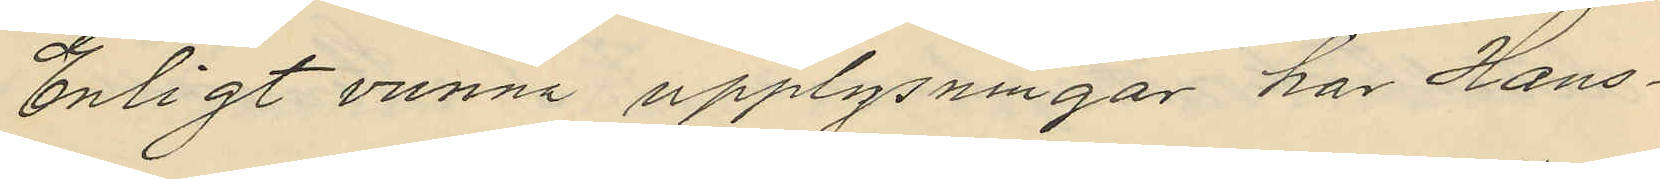Enligt vunna upplysningar har Hans¬
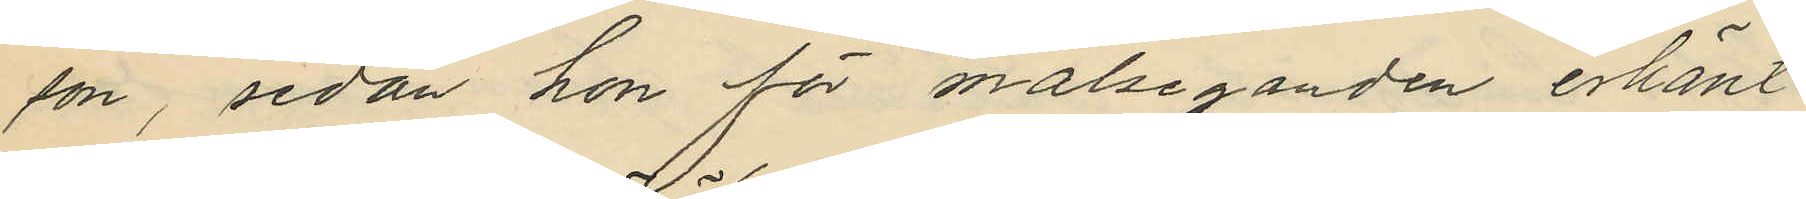son, sedan hon för målseganden erkänt
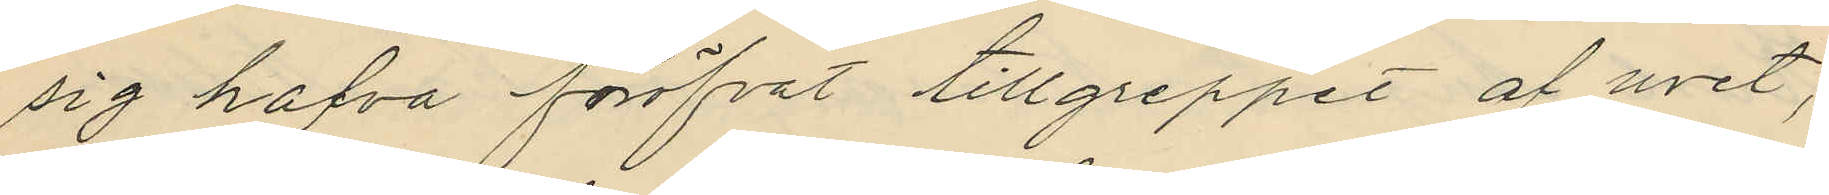sig hafva föröfvat tillgreppet af uret,
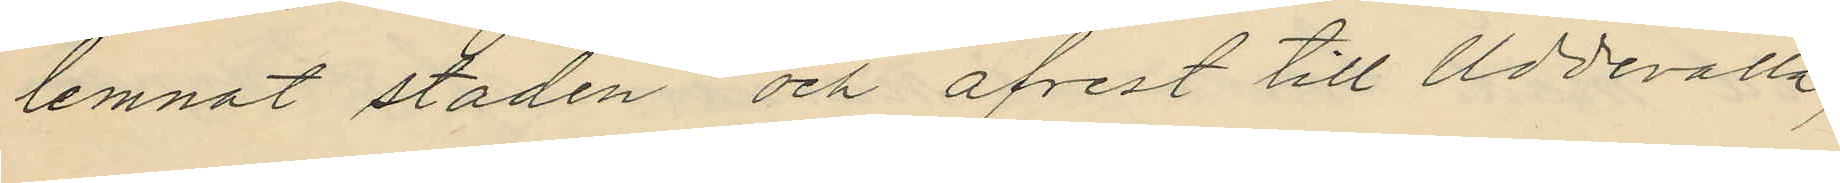lemnat staden och afrest till Uddevalla,
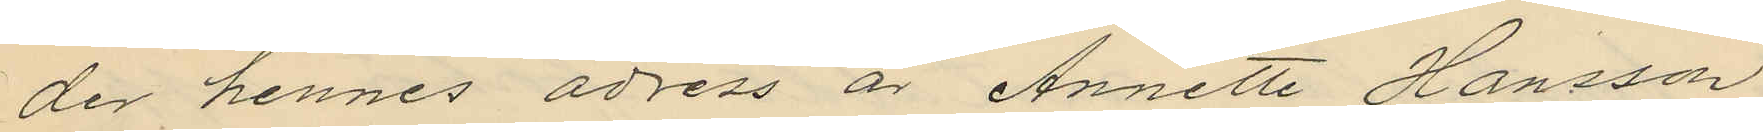der hennes adress är Annette Hansson
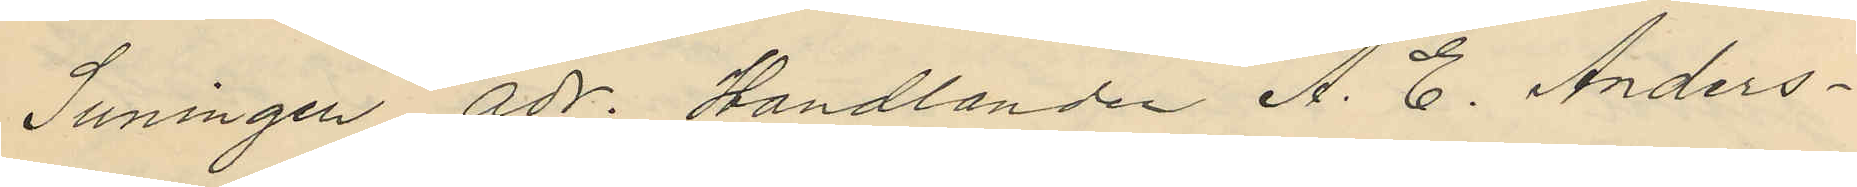Suningen adr. Handlanden A. C. Anders¬
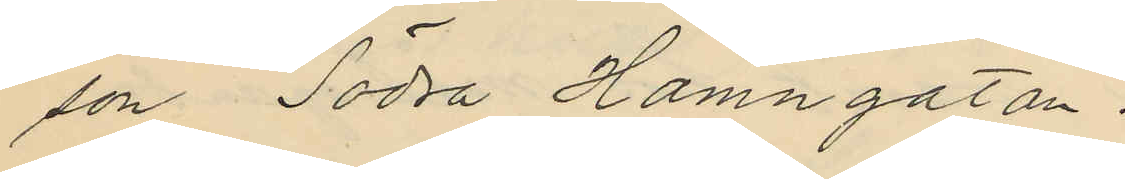son Södra Hamngatan.
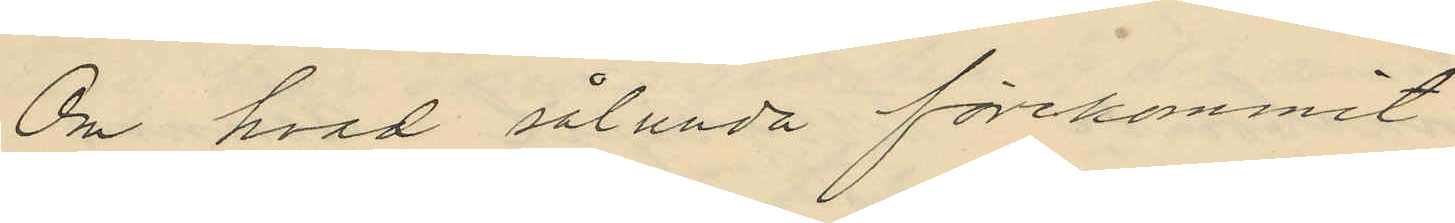Om hvad sålunda förekommit
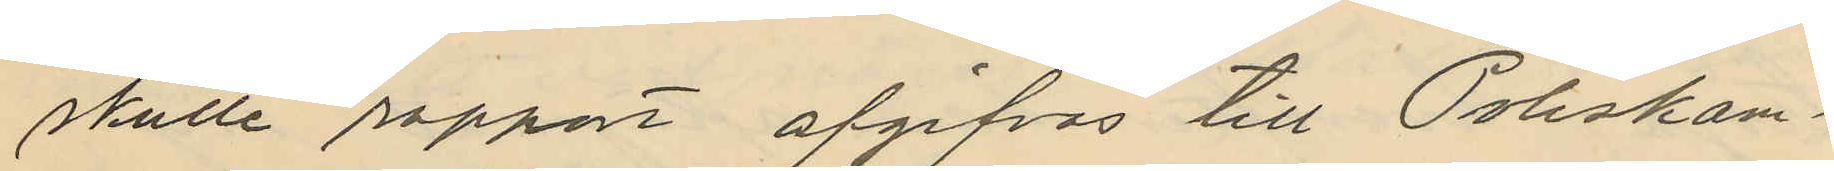skulle rapport afgifvas till Poliskam¬
